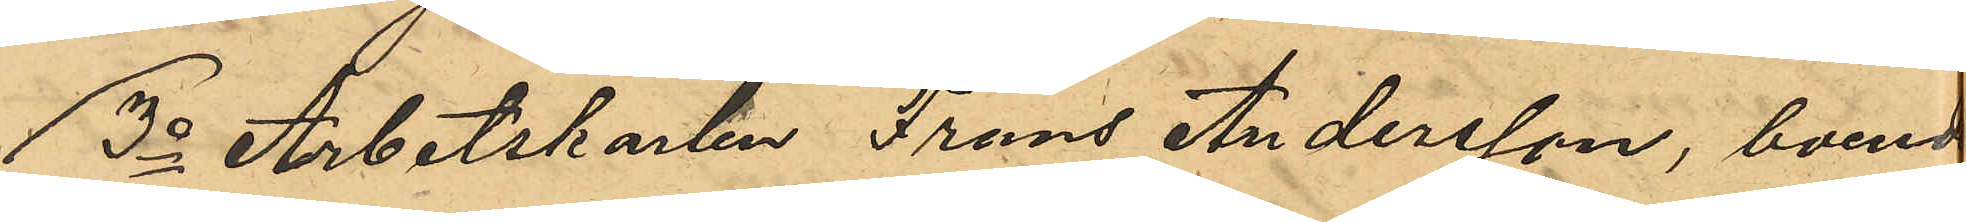3o Arbetskarlen Frans Andersson, boende
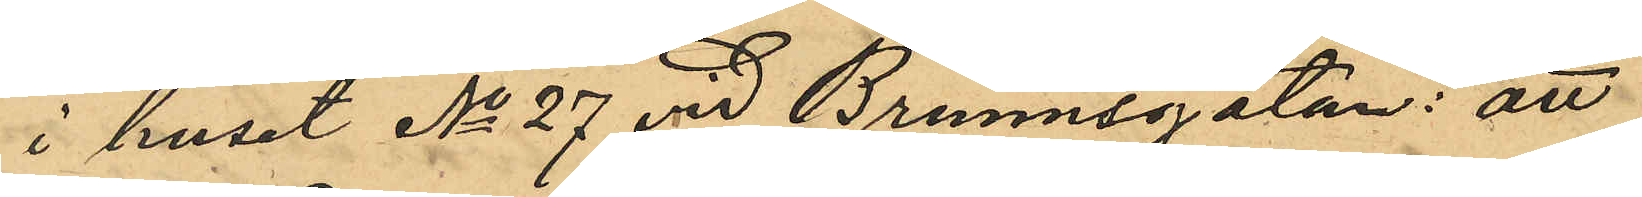i huset No 27 vid Brunnsgatan: att
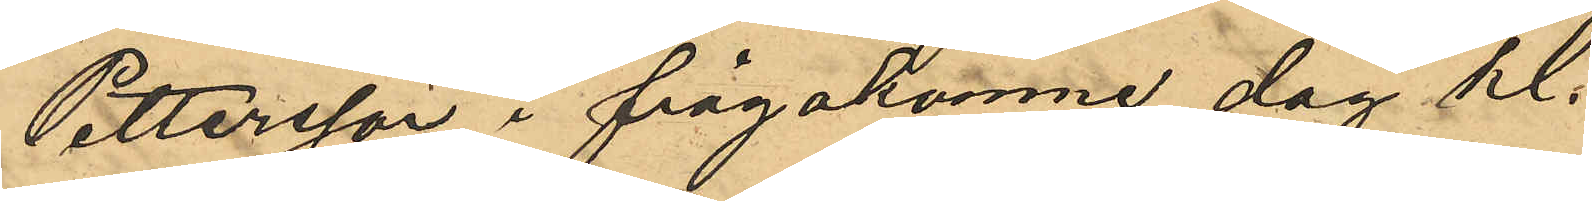Pettersson i frågakomne dag kl.
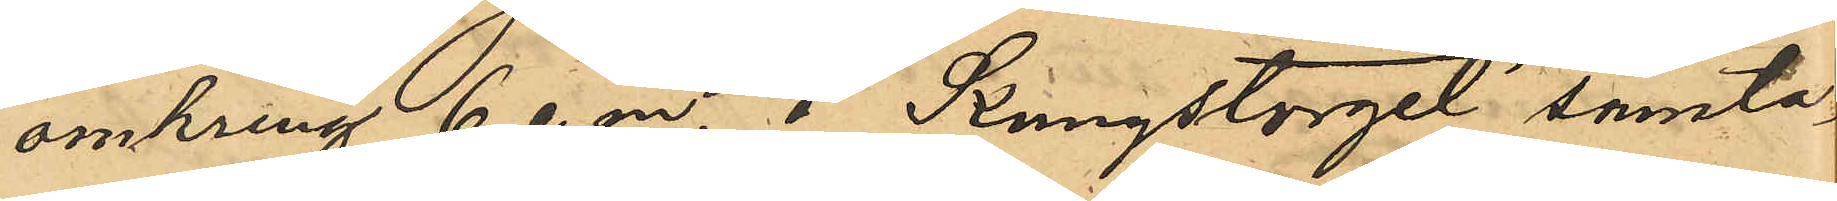omkring 6 e. m. å Kungstorget samta¬
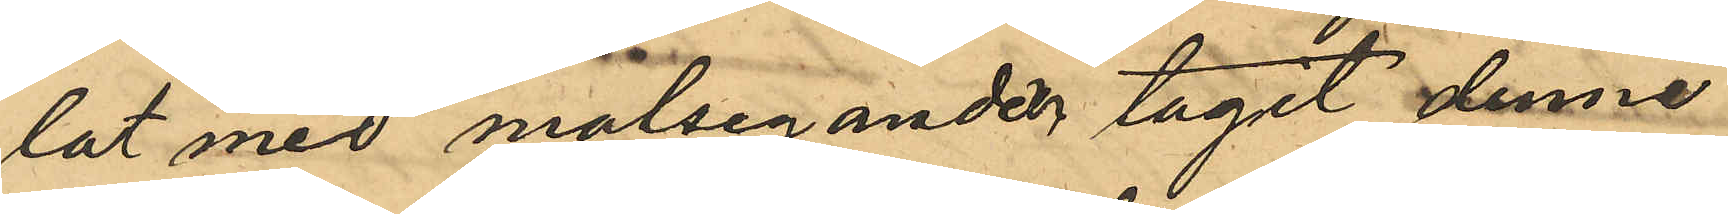lat med målseganden tagit denne
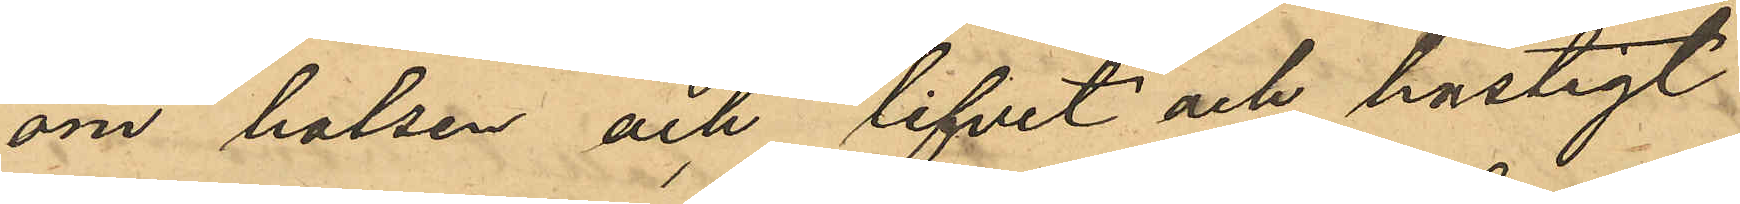om halsen och lifvet och hastigt
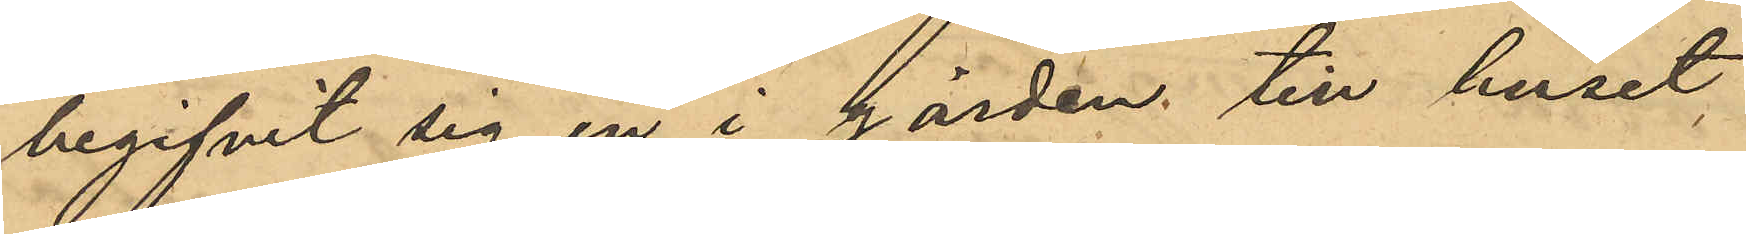begifvit sig in i gården till huset
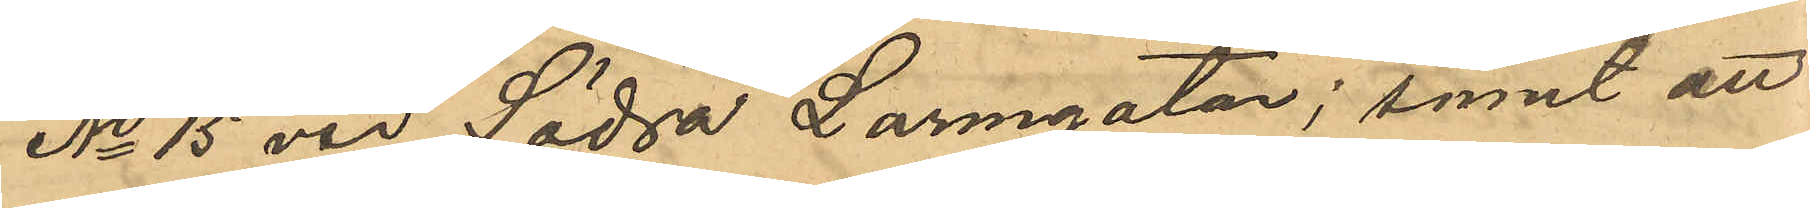No 15 vid Södra Larmgatan; samt att
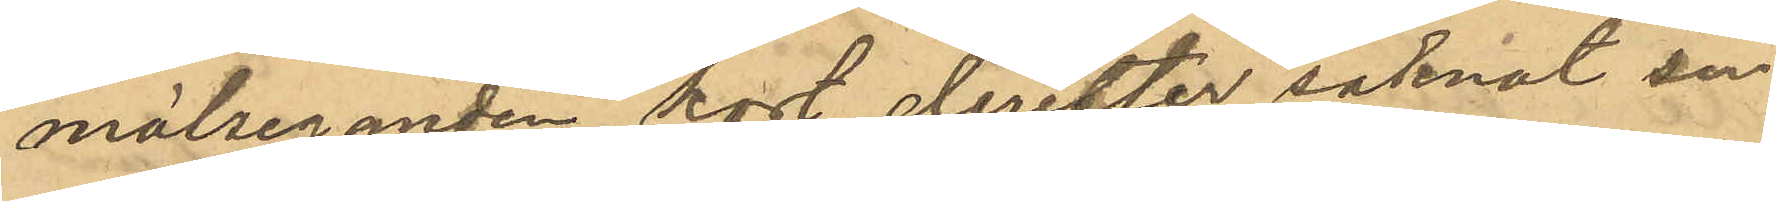målseganden kort derefter saknat sin
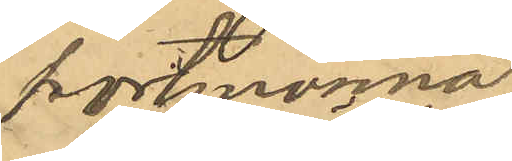portmonnä
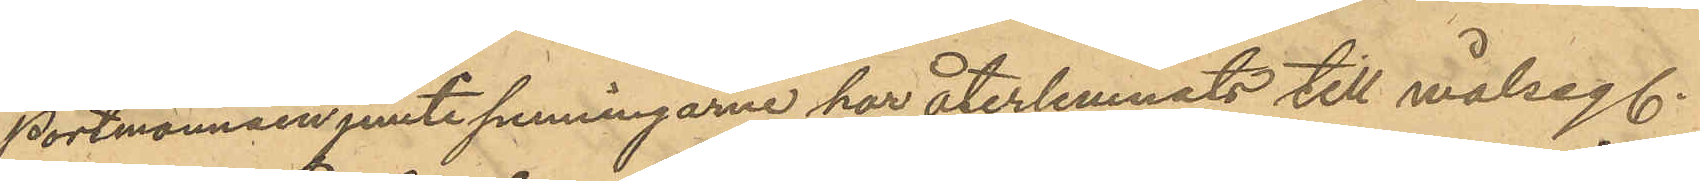Portmonnäen jemte penningarne har återlemnats till målseg.
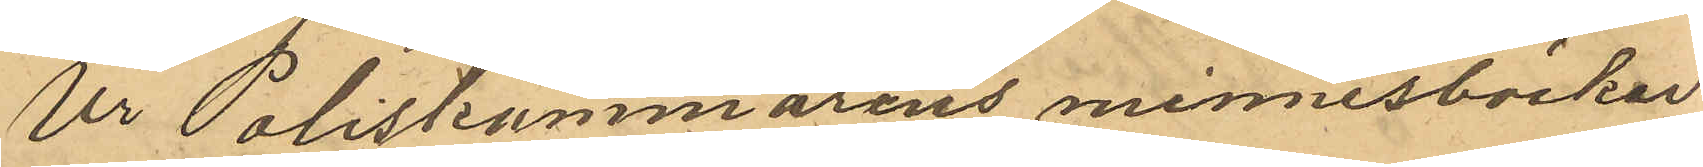Ur Poliskammarens minnesböcker
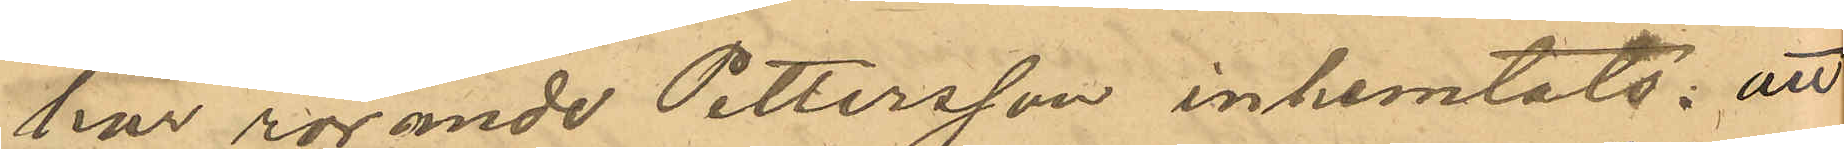har rörande Pettersson inhemtats: att
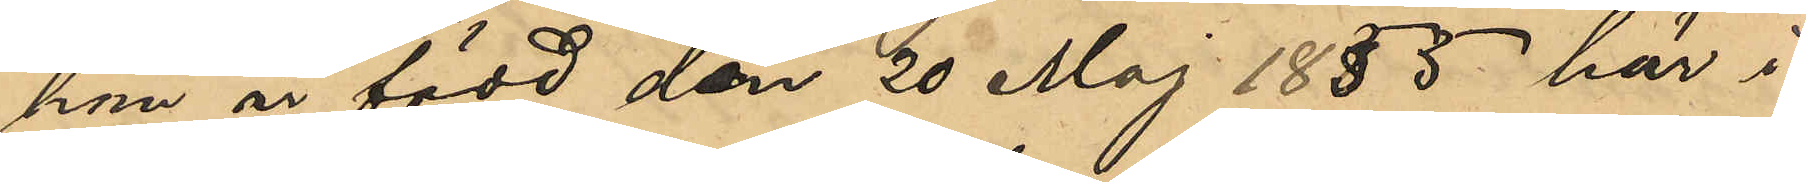han är född den 20 Maj 1855 här i
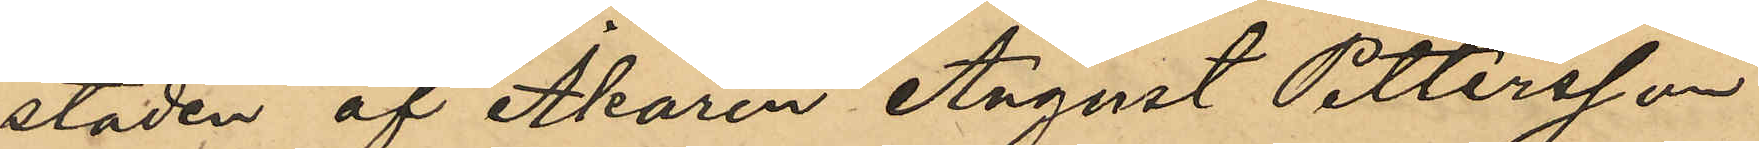staden af Åkaren August Pettersson
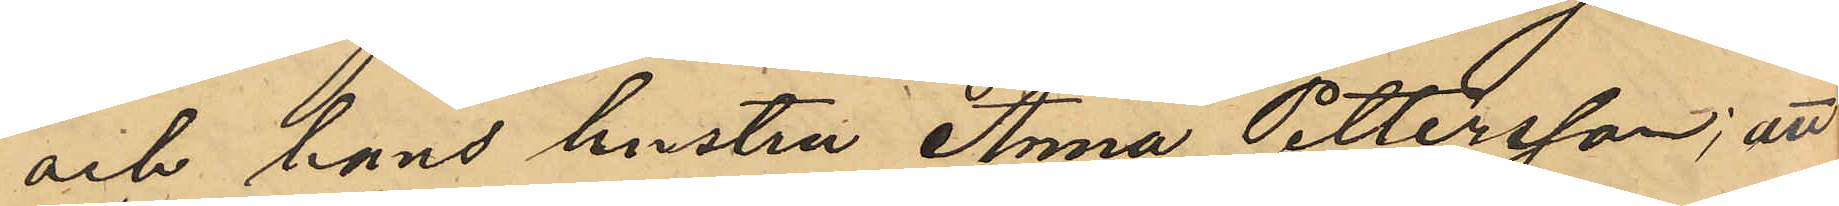och hans hustru Anna Pettersson; att
